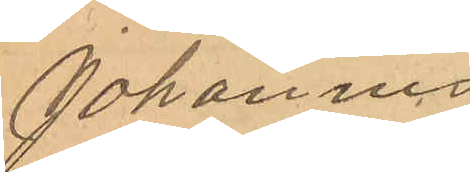Johannes
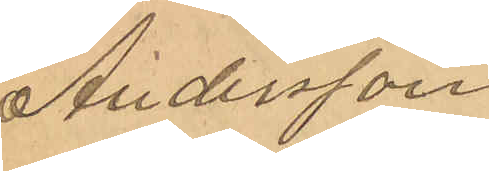Andersson
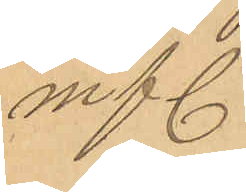m fl.
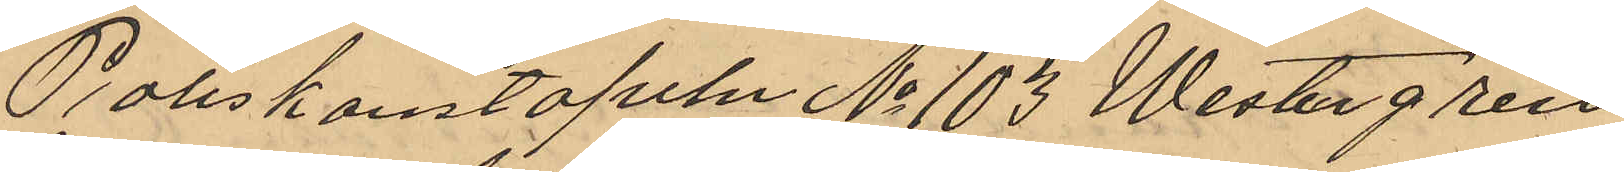Poliskonstapeln No 103 Westergren
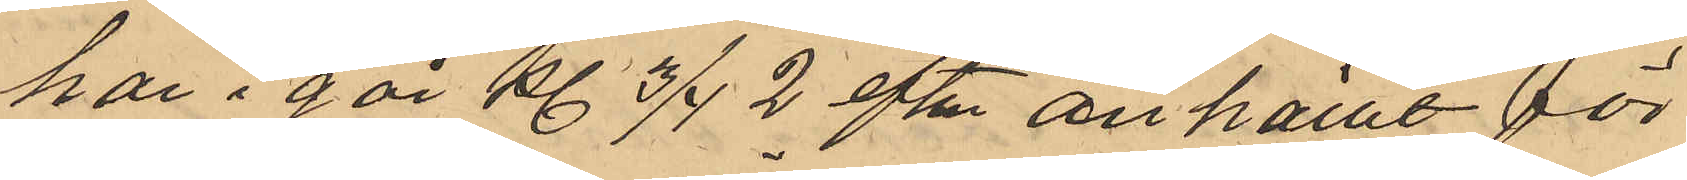har i går kl 3/4 2 eftm anhållt för
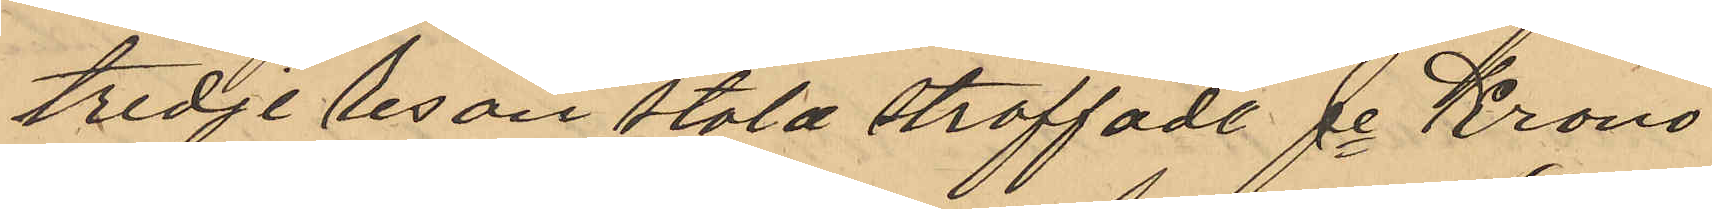tredje lesan stöld straffade fe Krono¬
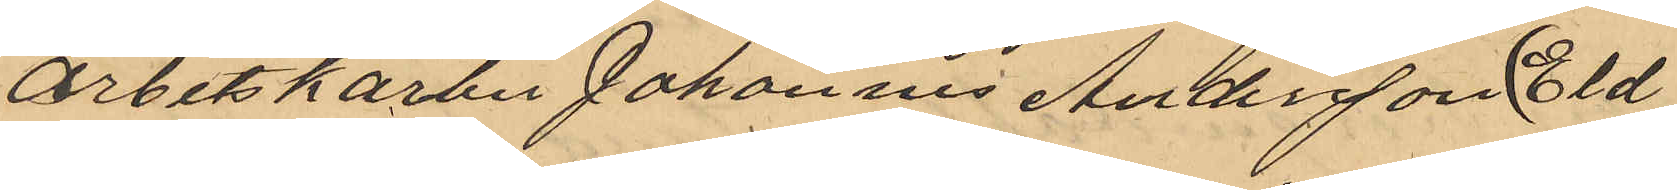arbetskarlen Johannes Andersson (Eld¬
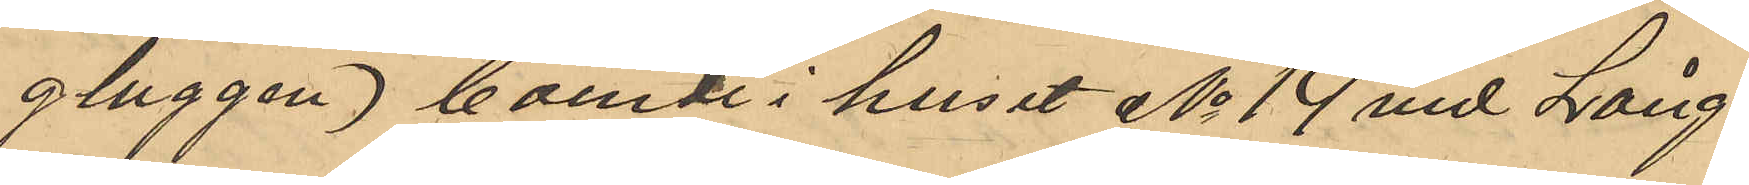gluggen), boende i huset No 14 vid Lång¬
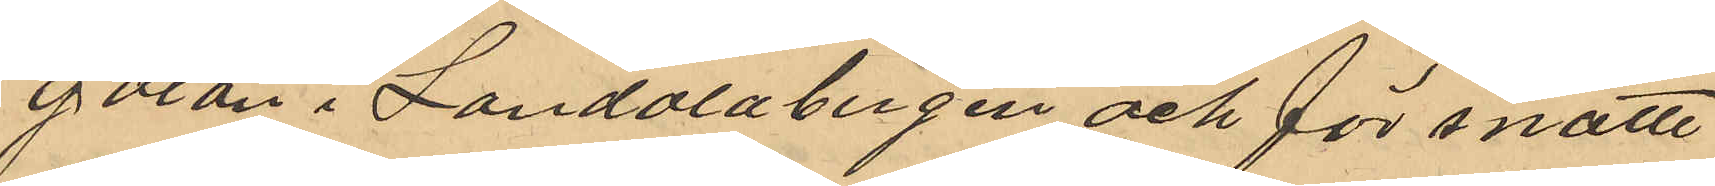gatan i Landalabergen och för snatte¬
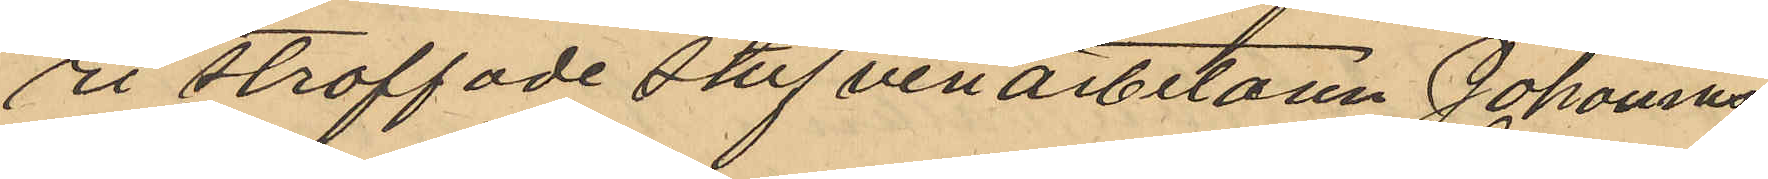ri straffade stufveriarbetaren Johannes
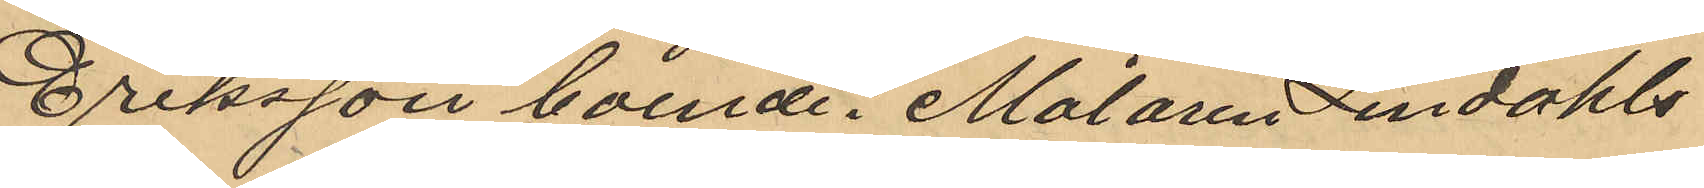Eriksson boende i Målaren Lindahls
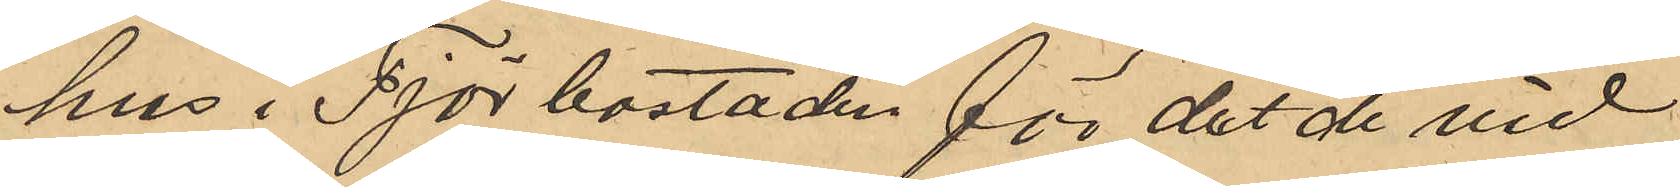hus i Tjörbostaden för det de vid
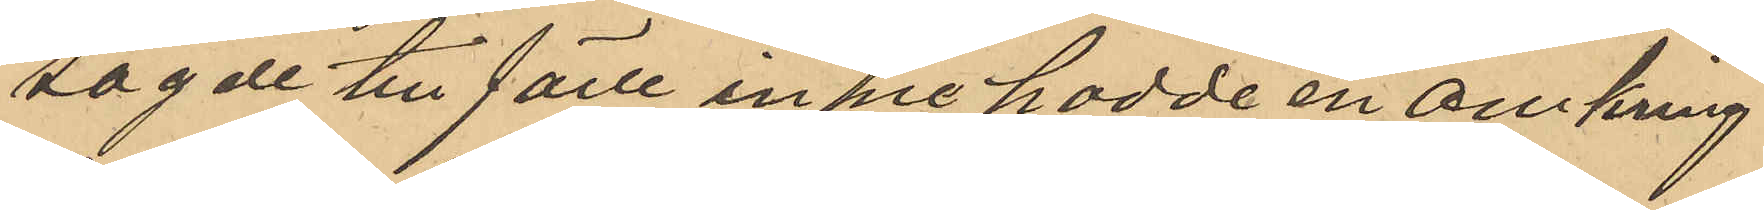sagde tillfälle innehadde en omkring
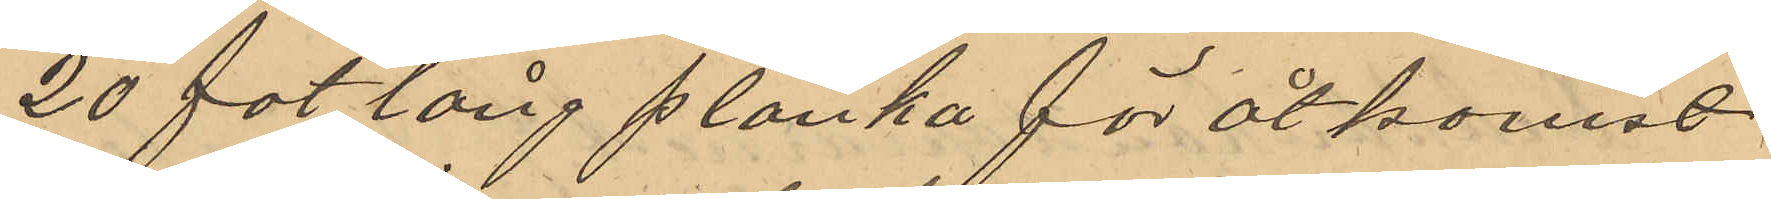20 fot lång planka för åtkomst
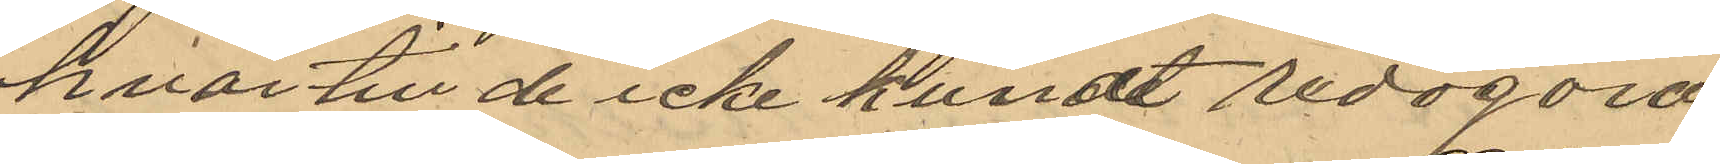hvar till de icke kunde redogöra.
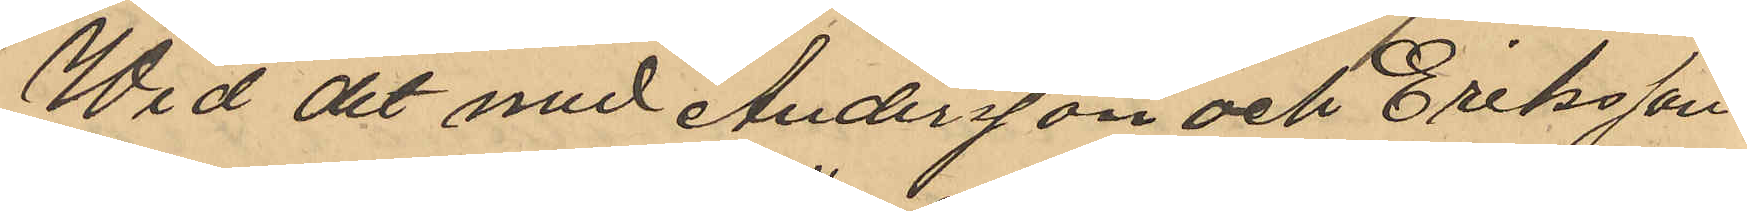Wid det med Andersson och Eriksson
